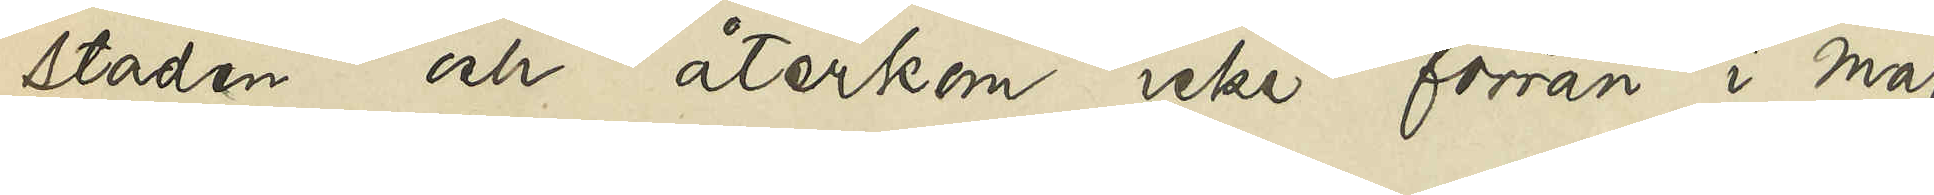staden och återkom icke förrän i maj
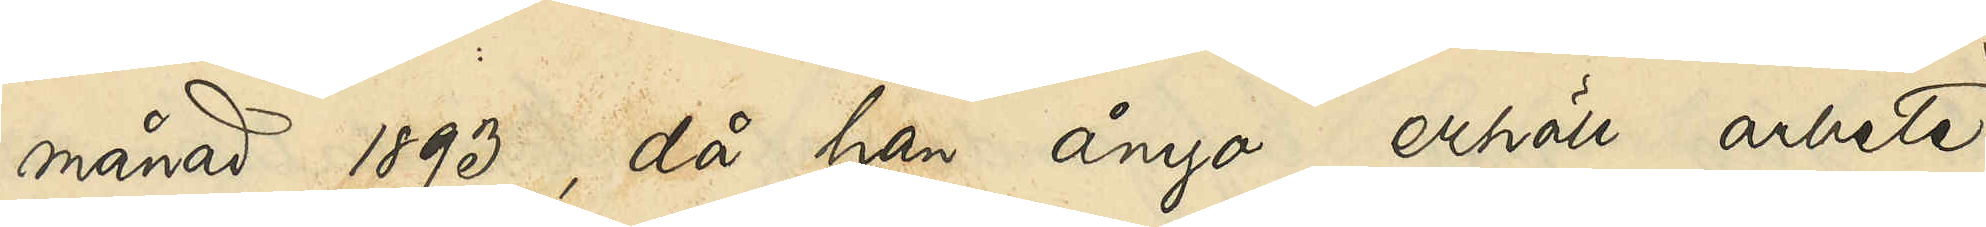månad 1893, då han ånyo erhöll arbete
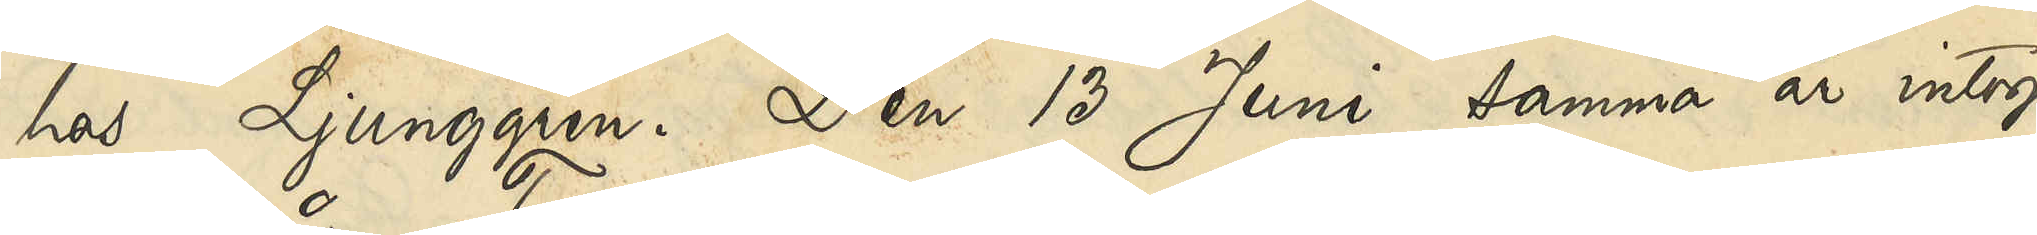hos Ljunggren. Den 13 Juni samma år intogs
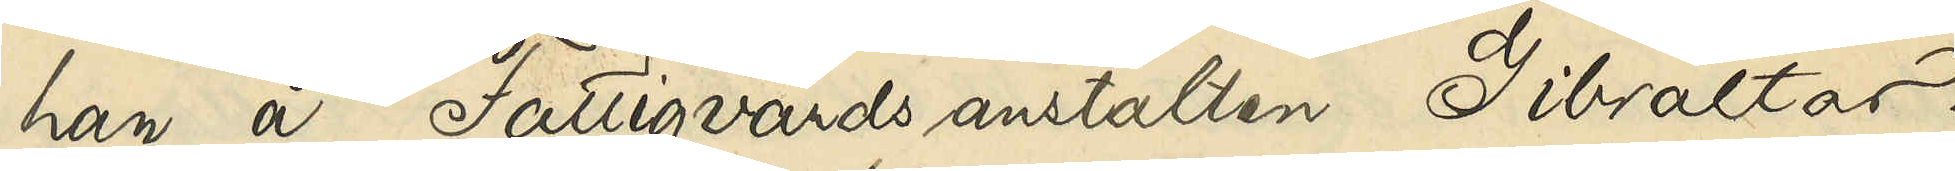han å Fattigvårdsanstalten Gibraltar.
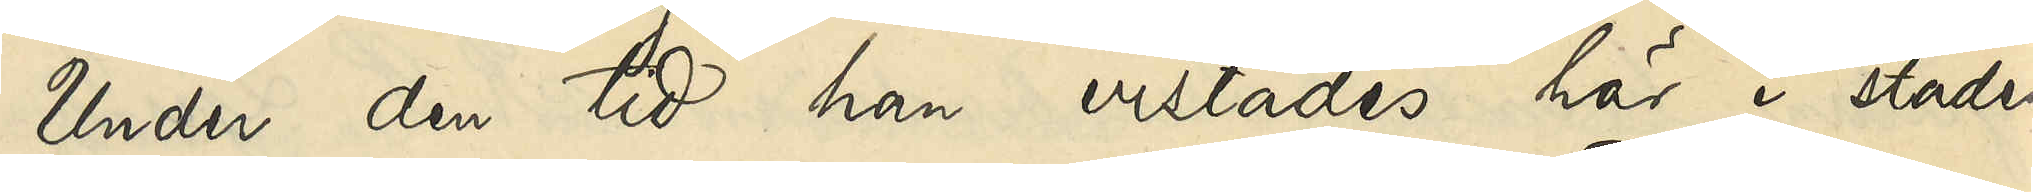Under den tid han vistades här i staden
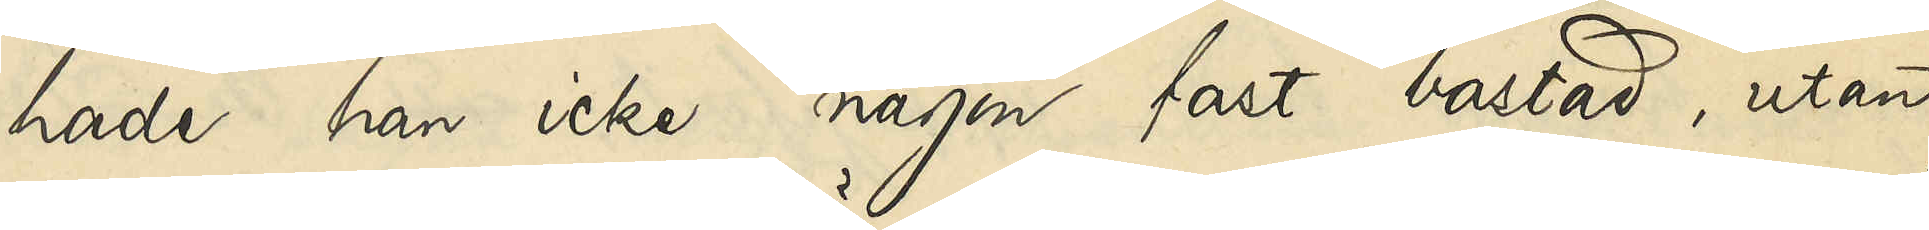hade han icke någon fast bostad, utan
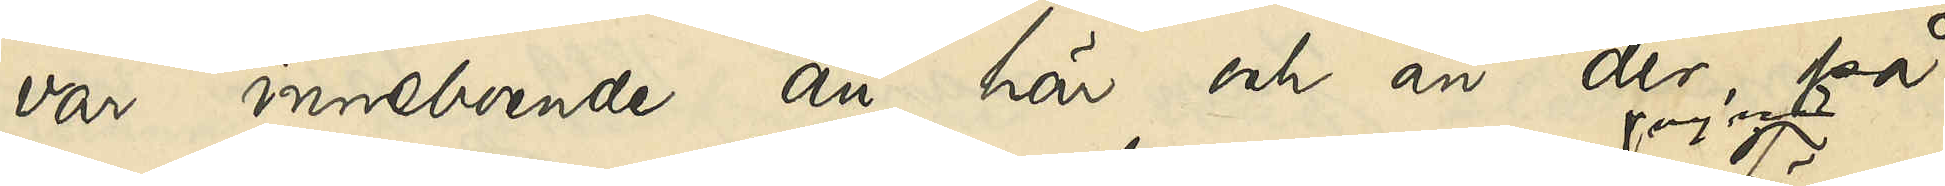var inneboende än här och än där, på
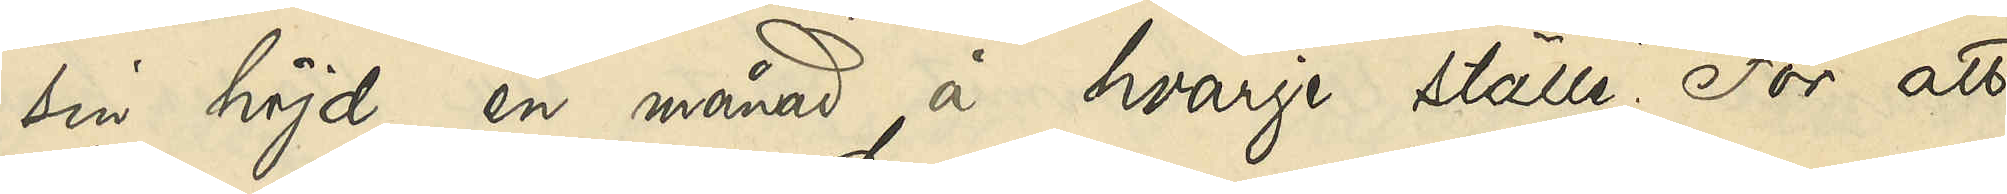sin höjd en månad å hvarje ställe. För att
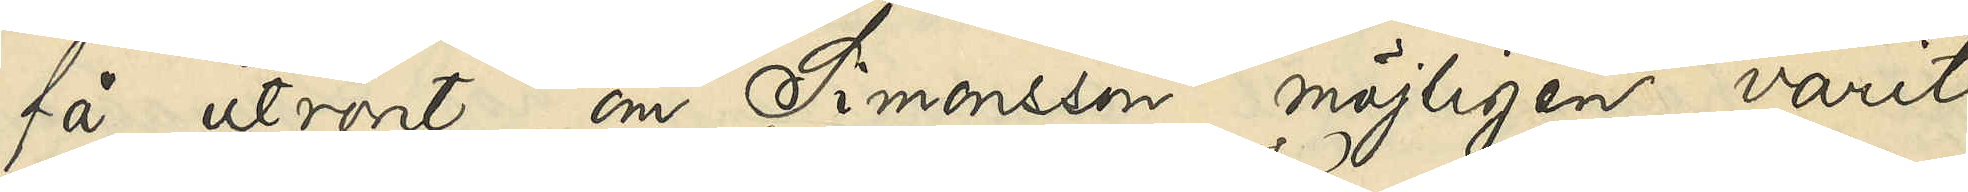få utrönt om Simonsson möjligen varit
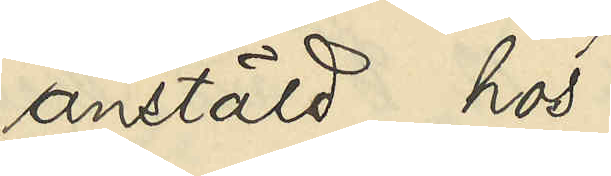anstäld hos
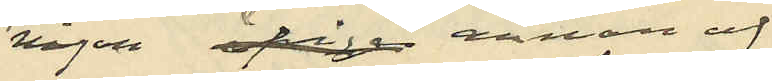någon annan af
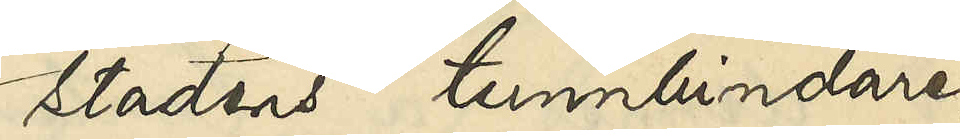stadens tunnbindare,
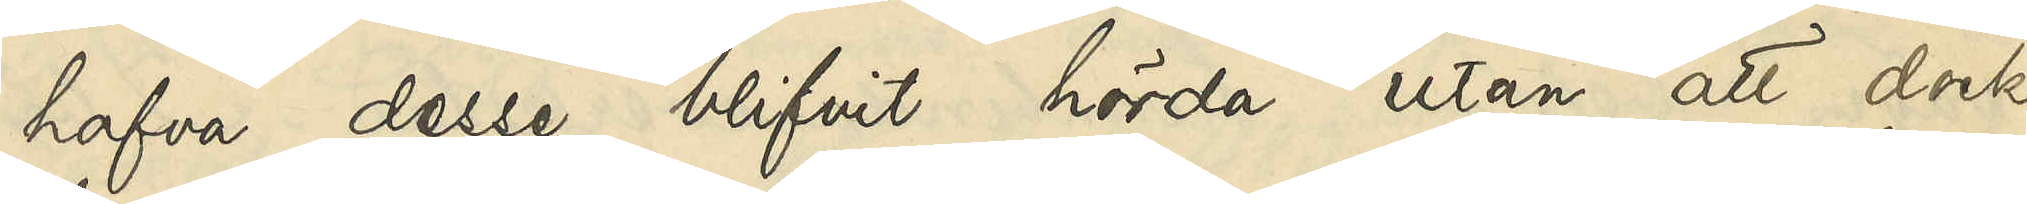hafva desse blifvit hörda utan att dock
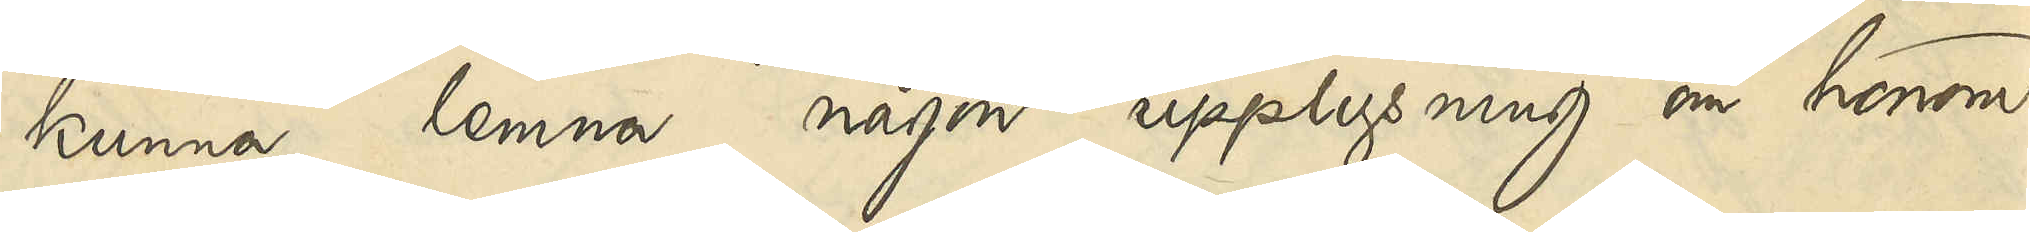kunna lemna någon upplysning om honom.
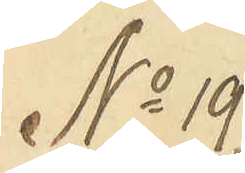No 19
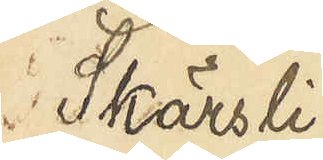Skärsli¬
